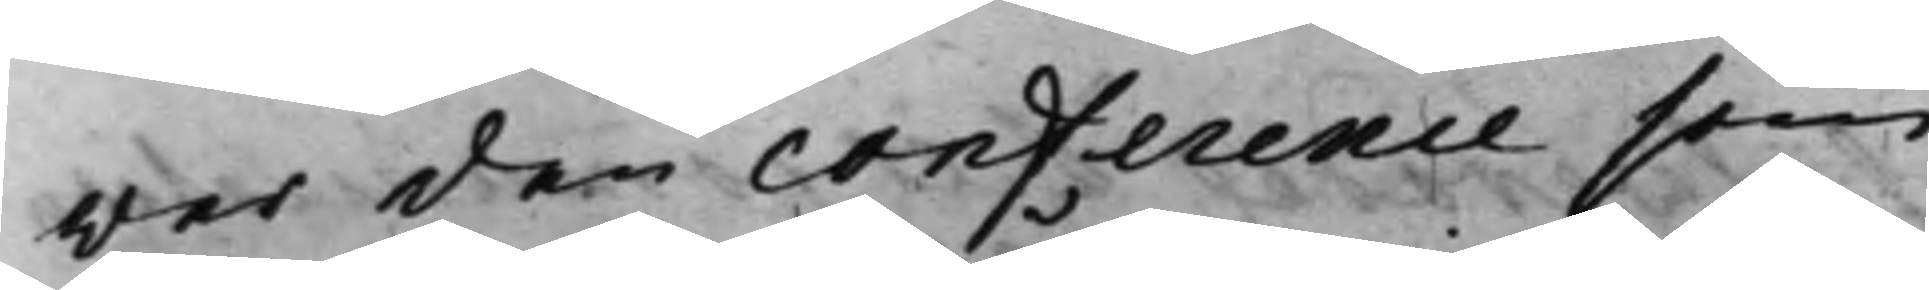wer den conference som
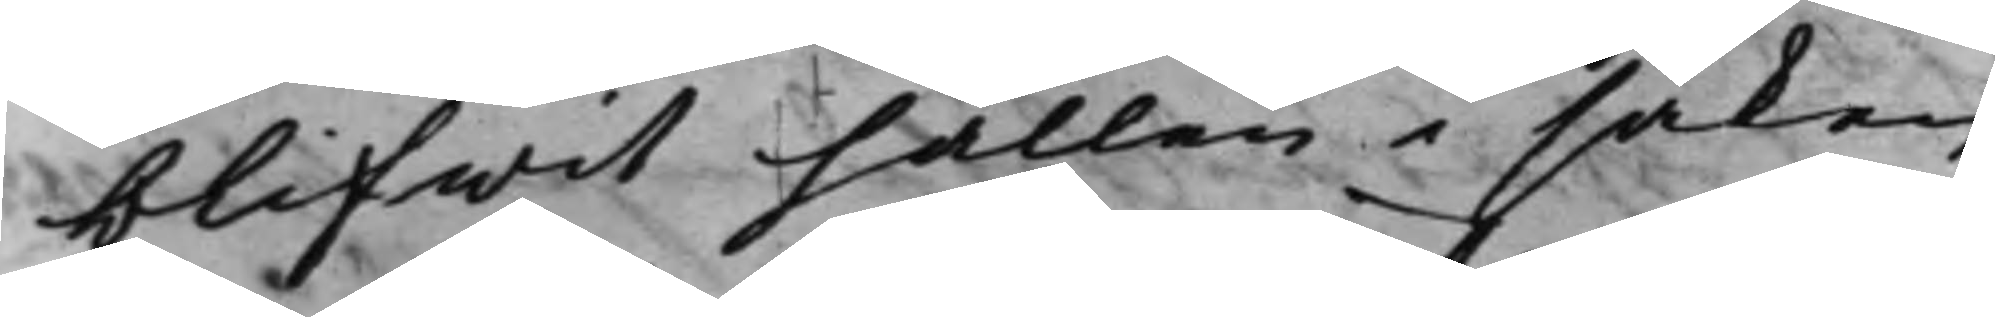blifwit hållen i saken
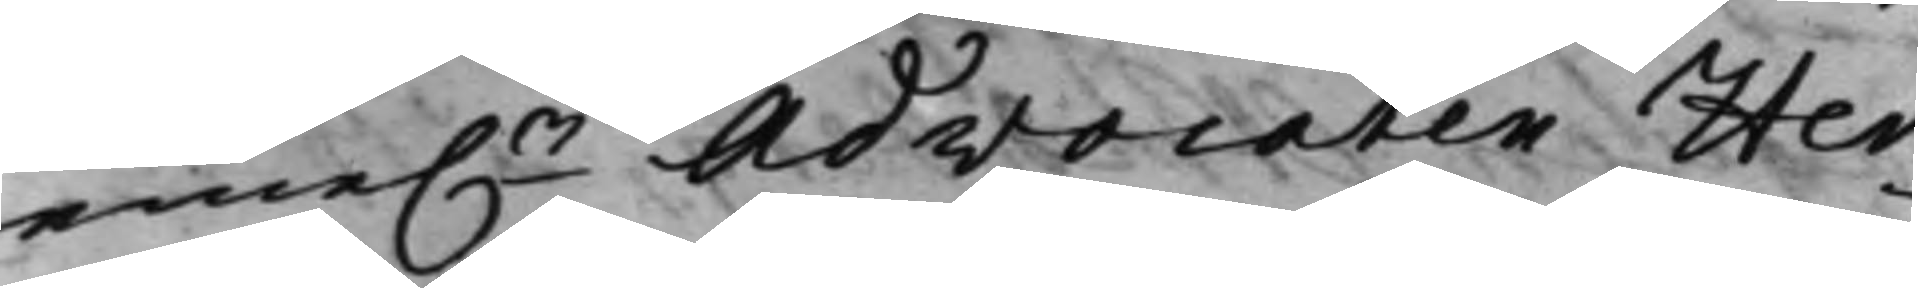eme.n Advocaten Her¬
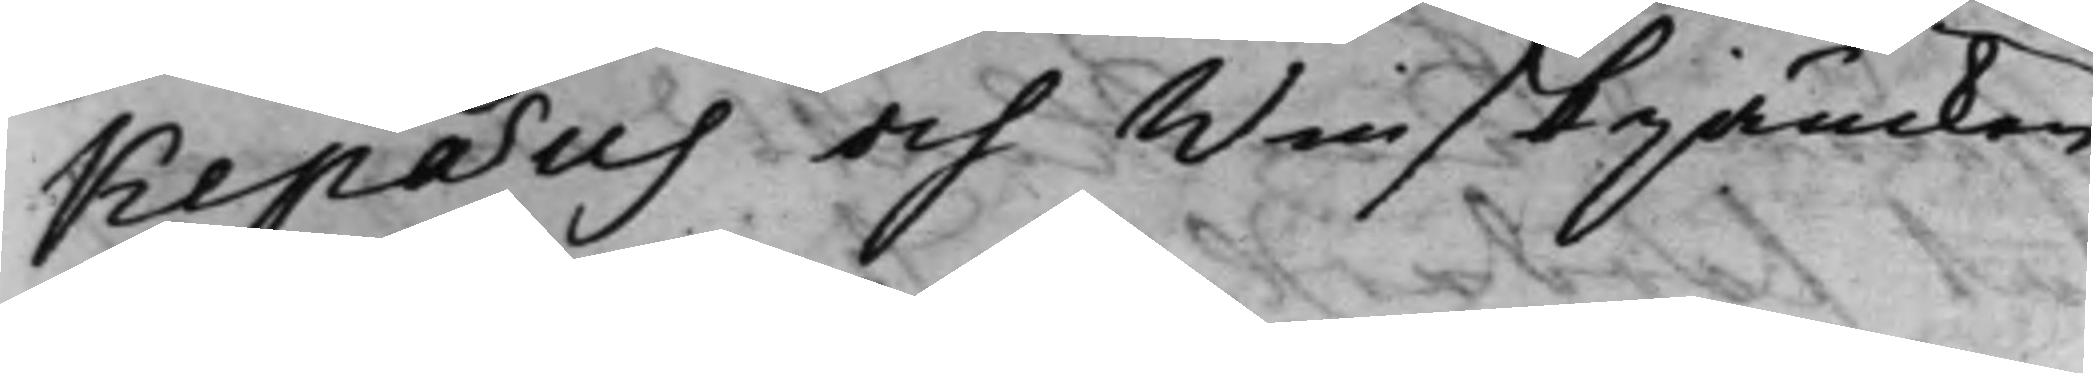kepæus och Winskjäncken
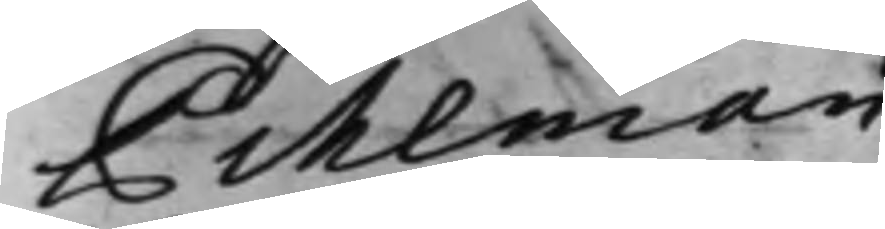Pihlman.
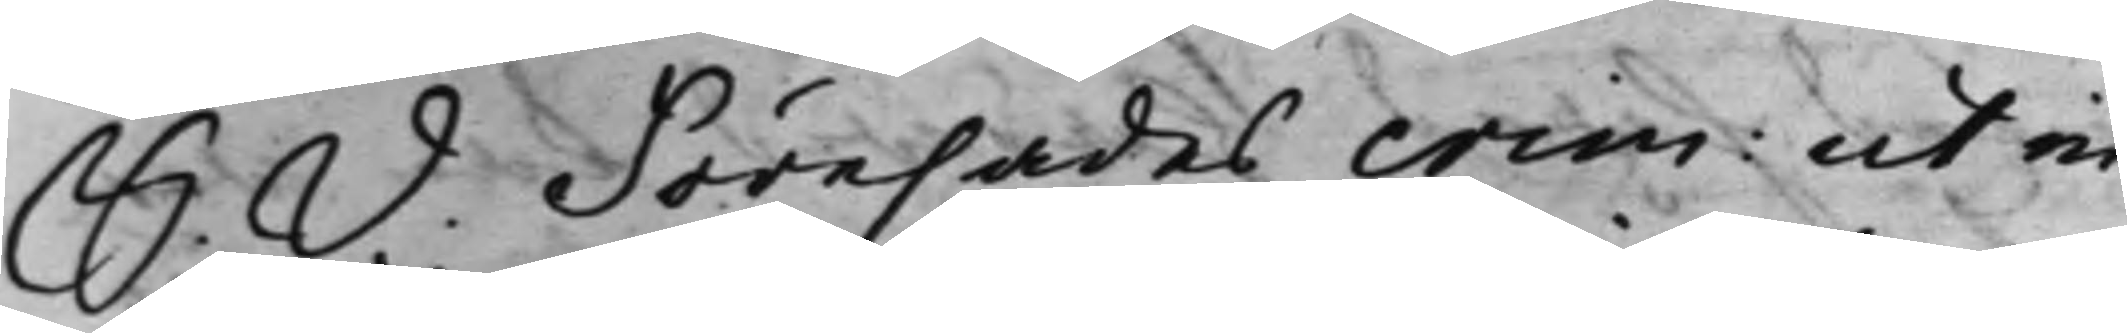S. D. Förehades crim: ut in
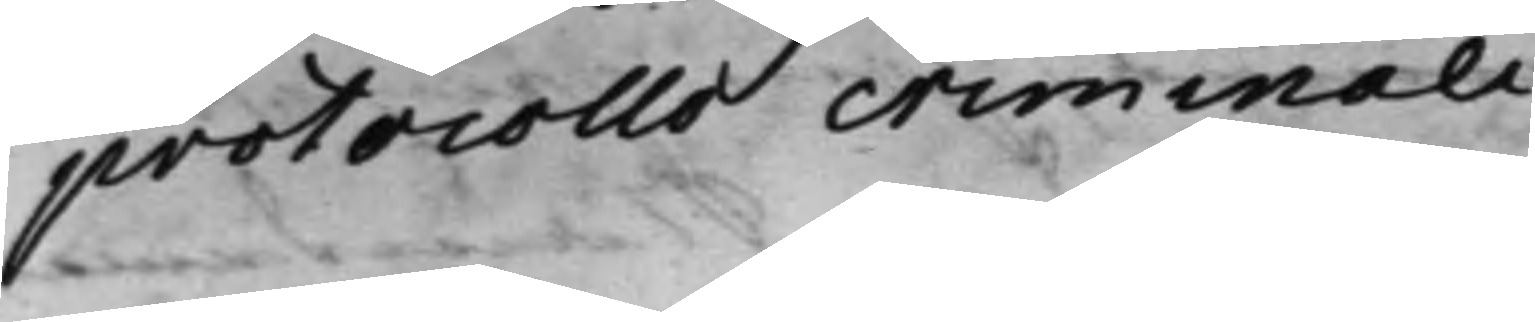protocollo criminali ./.
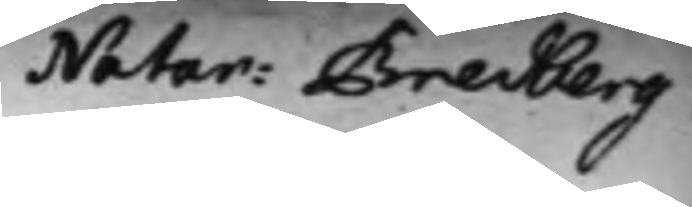Notar: Bredberg.
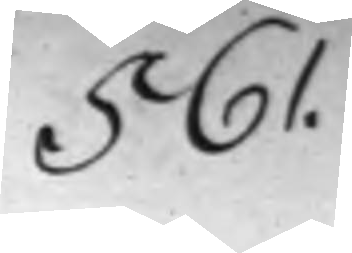561.
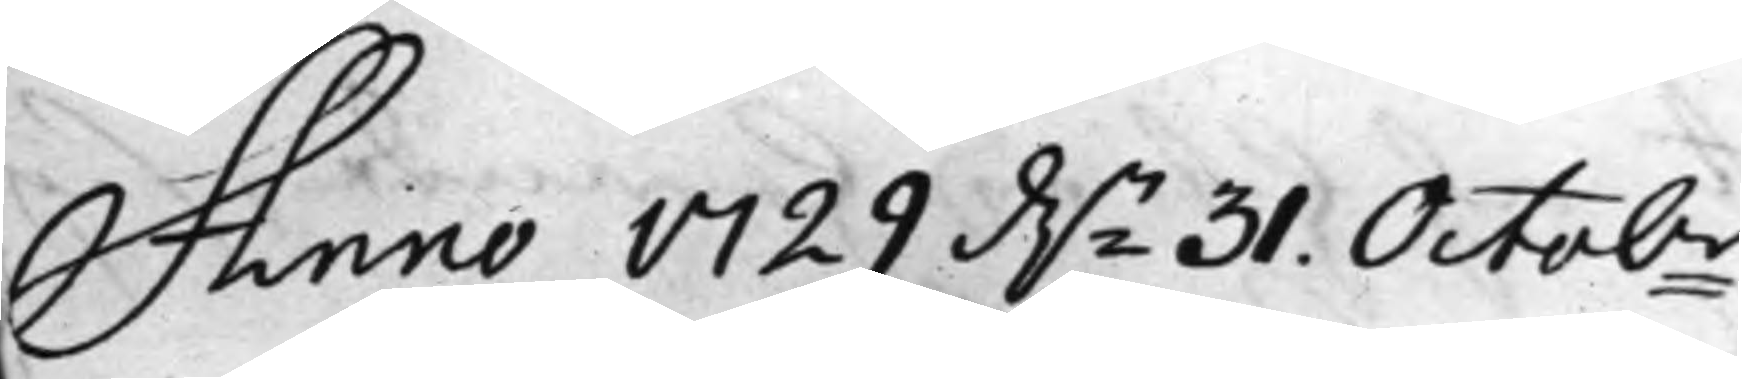Anno 1729 d.n 31. Octobr.
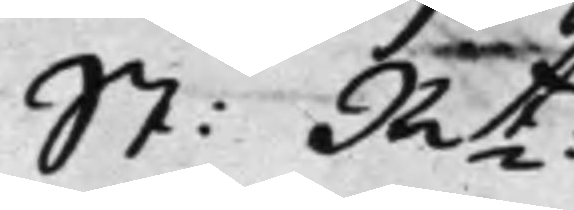St: Rt: 
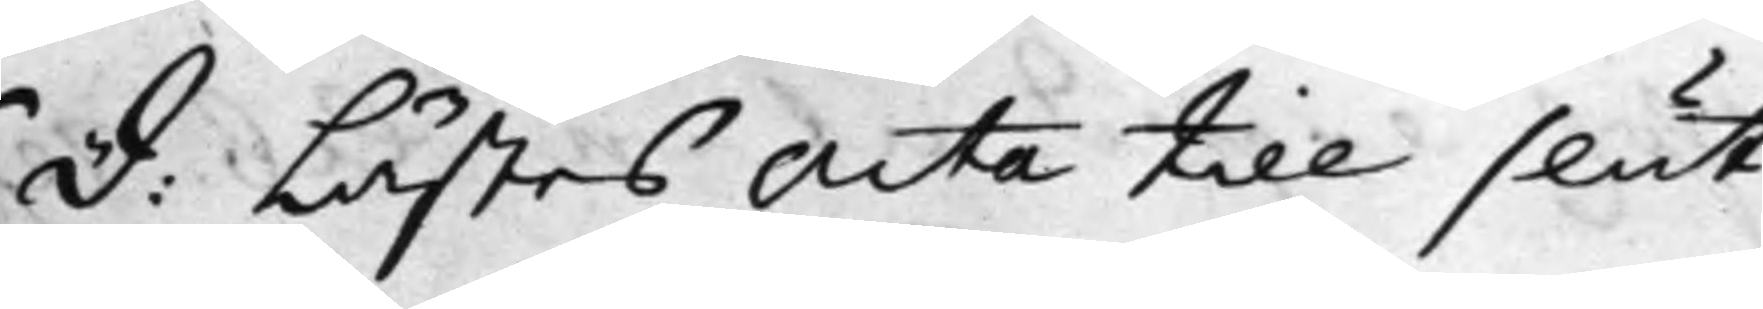D: Lästes Acta till slut
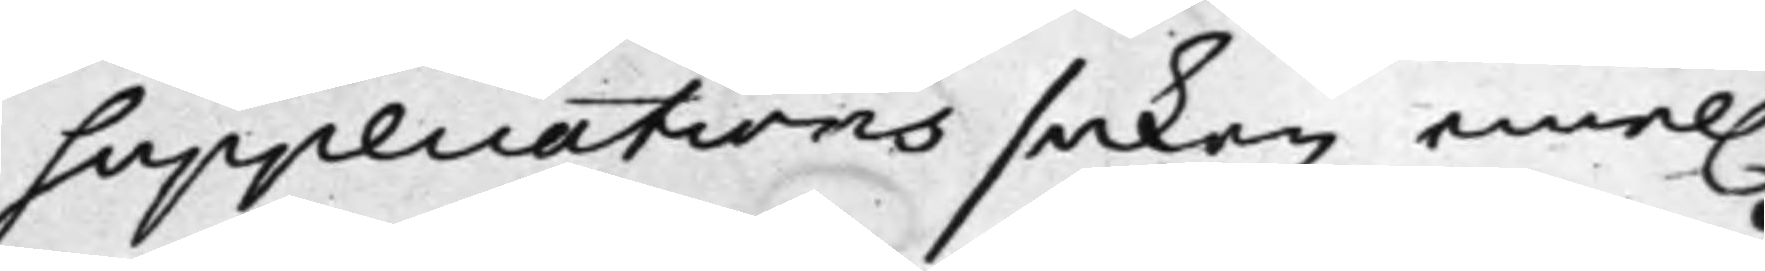Supplications saken emel.
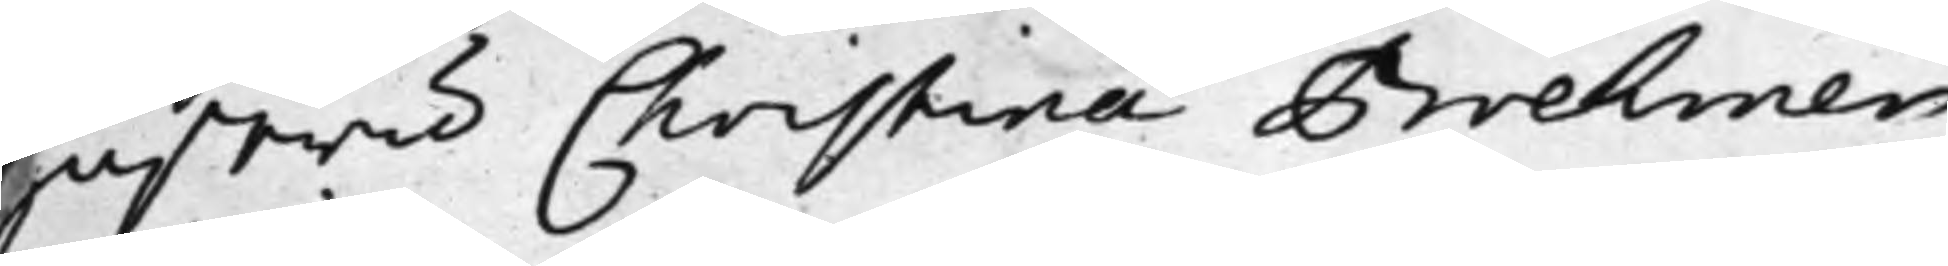hustru Christina Brehmer
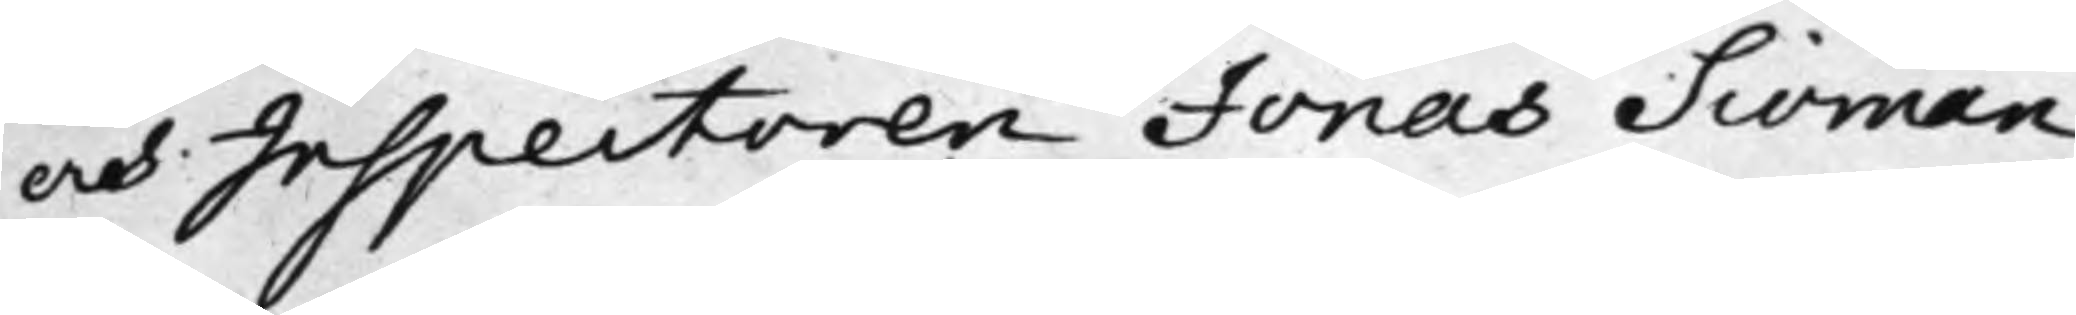och Inspectoren Jonas Siöman
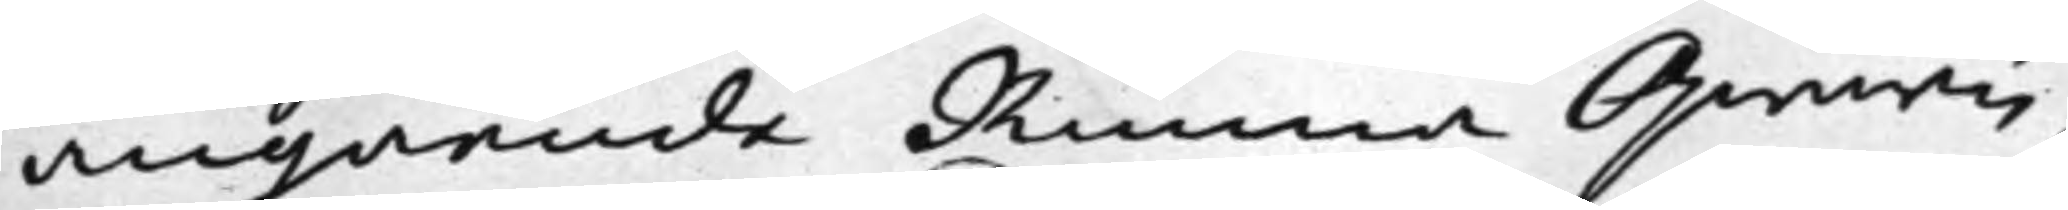angående Runna Qwarn,
